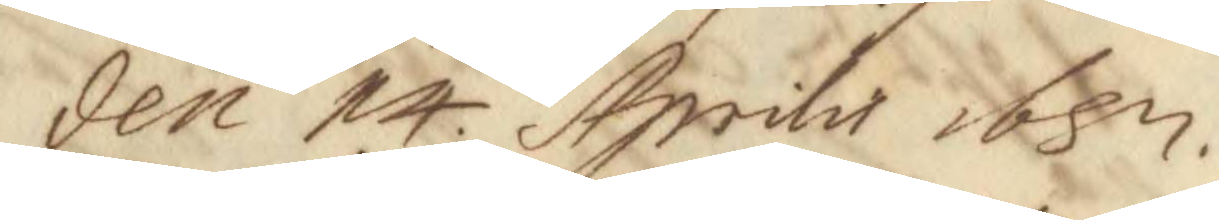den 14 Aprilis 1687.
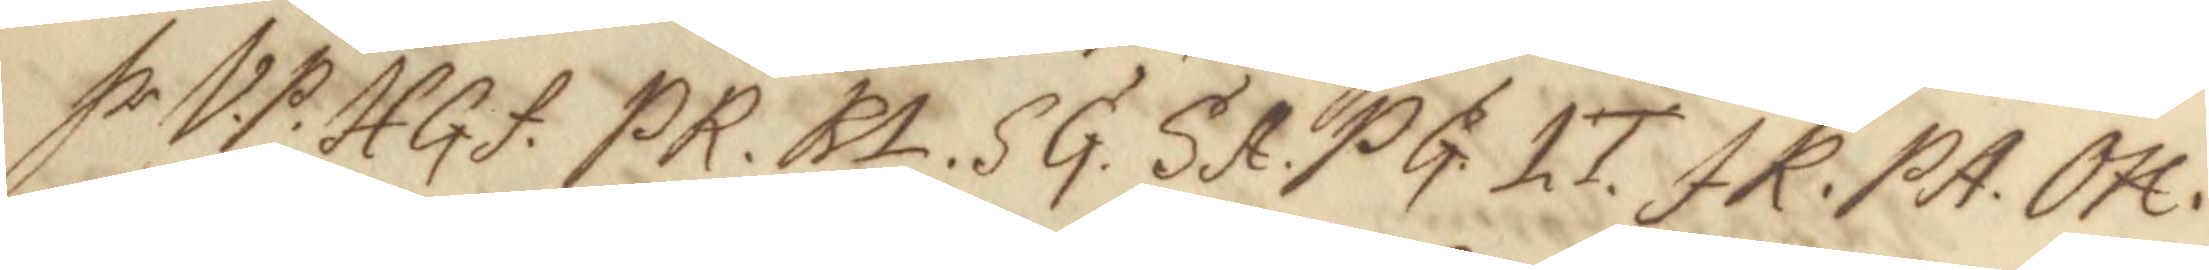hr VP. Hgf. PR. RL. SG. SA. PG. LT. JR. PA. OH. 
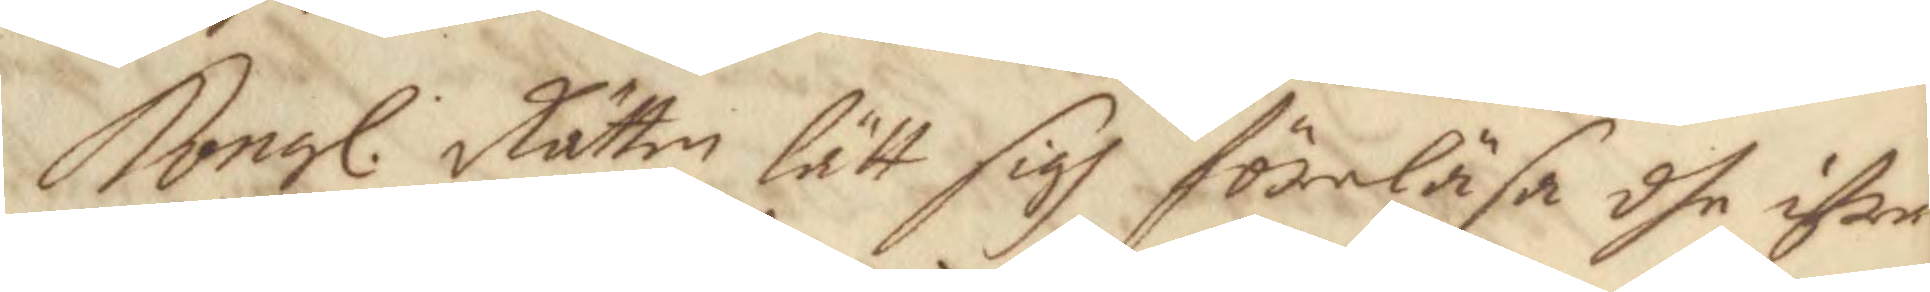Kongl. Rätten lätt sigh föreläsa dhe ifrån 
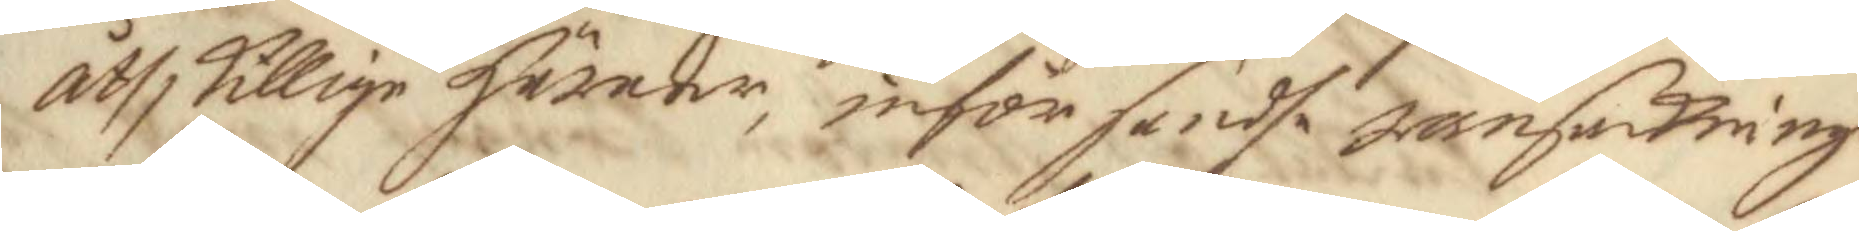åthskillige härader, inför sendhe ransakninge
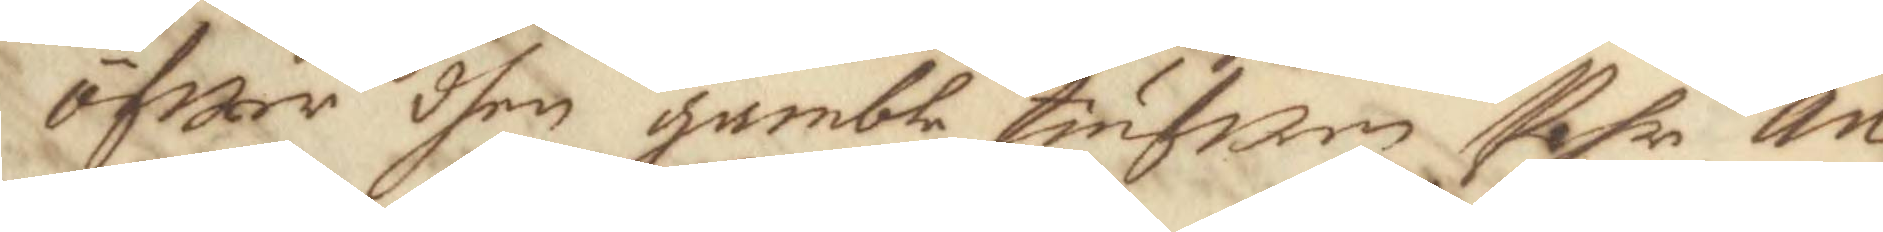öfwer dhen gamble tiufwen Pehr An¬
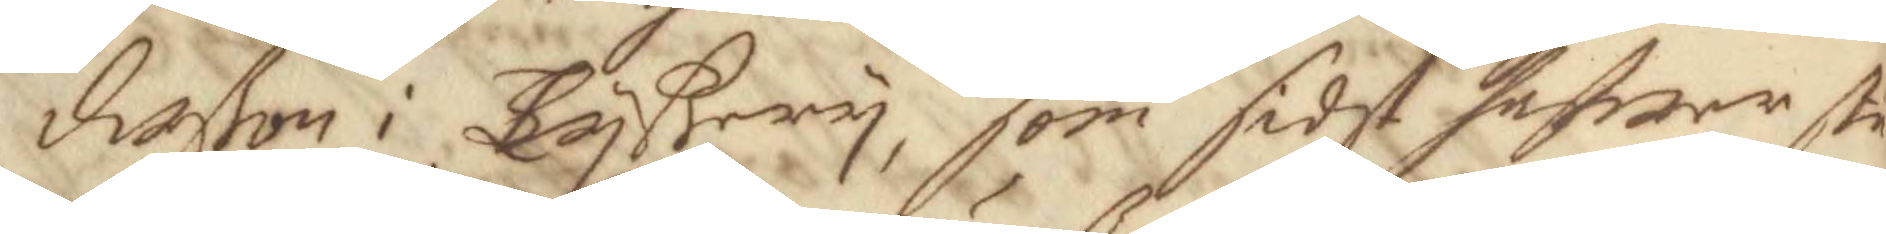derßon i Tyßery, som sidst hafwer stu¬
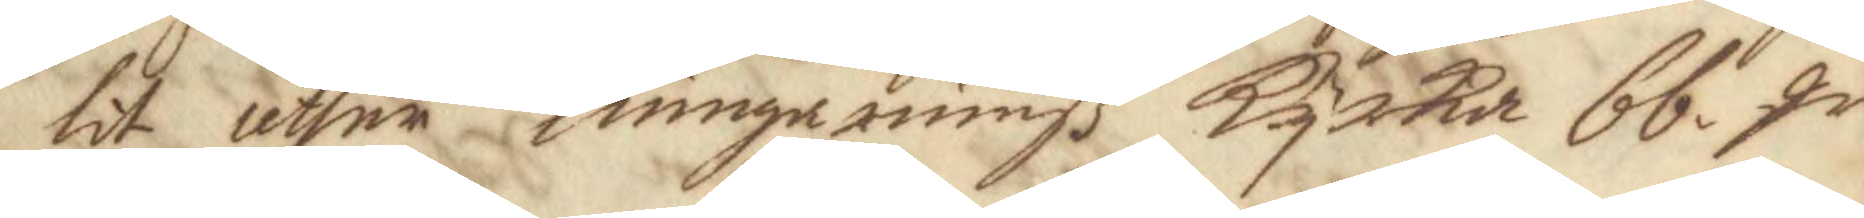lit uthur Liungarumß Kyrka 66 qr
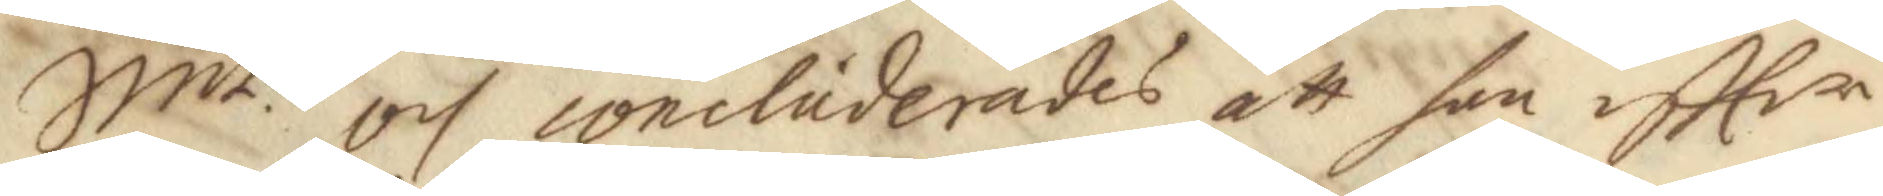Smt och concluderades att han eftter 
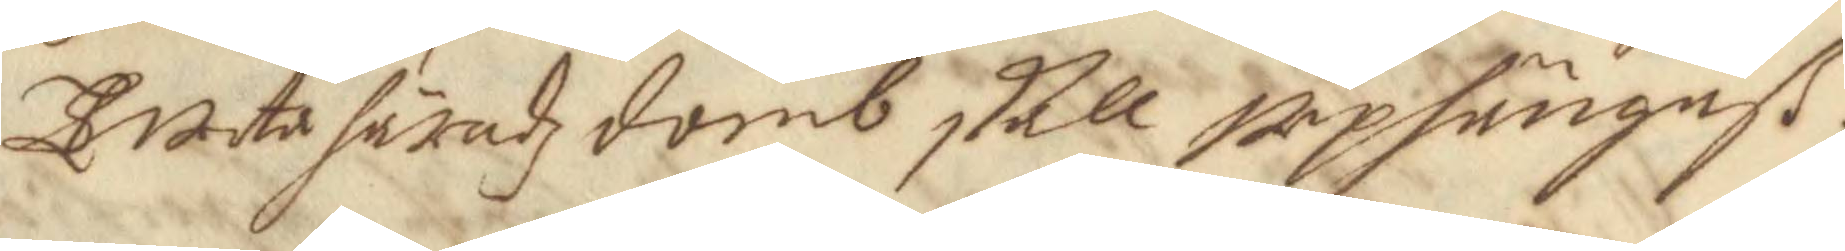Tweta häradzdomb skall upphängeß.
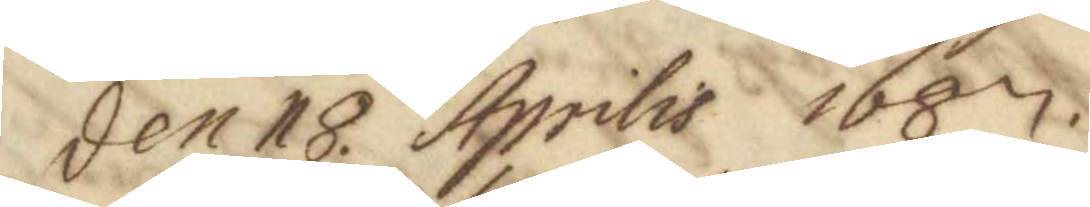den 18 Aprilis 1687.
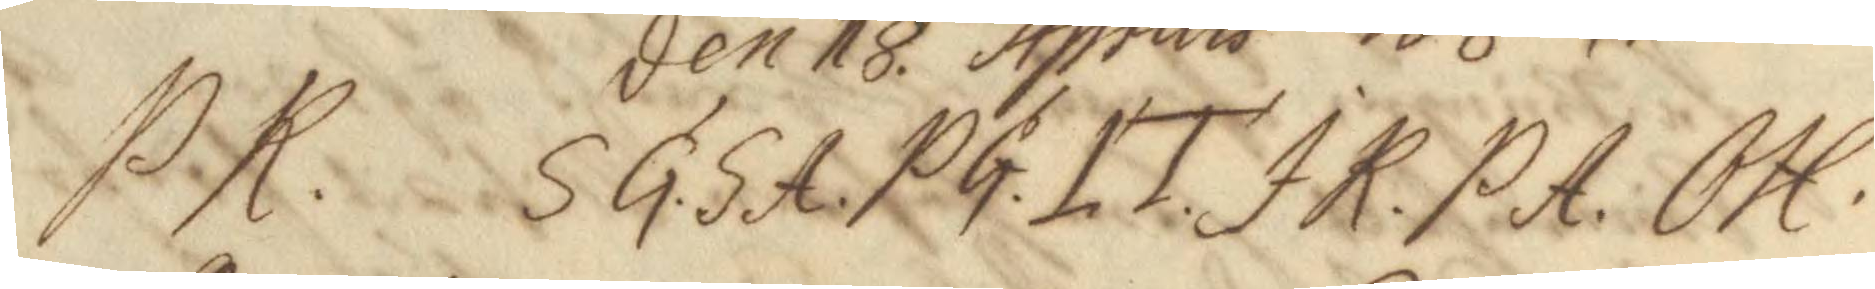PK. SG. SA. PG. LT. JR. PA. OH. 
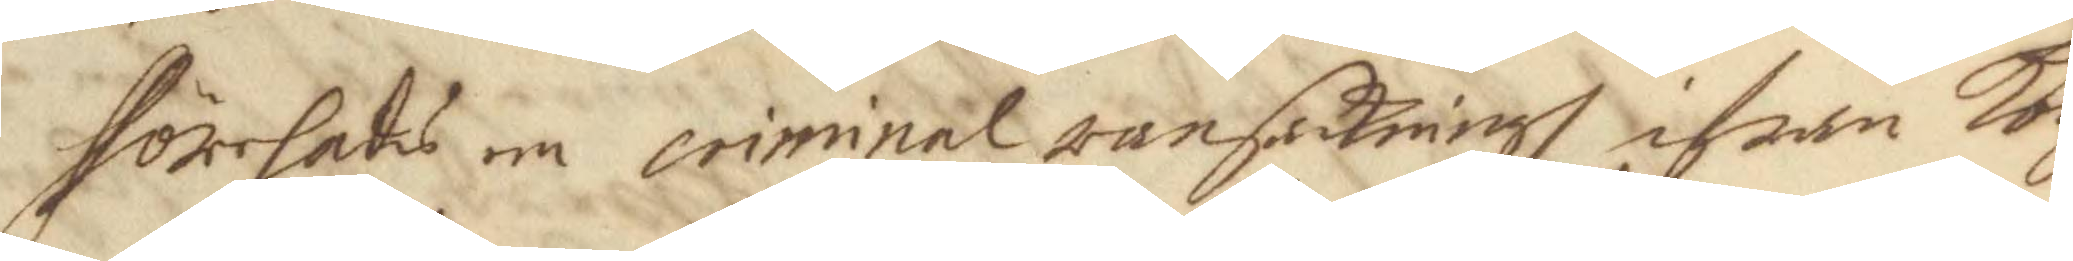förehads en criminal ransakningh ifrån Kon¬
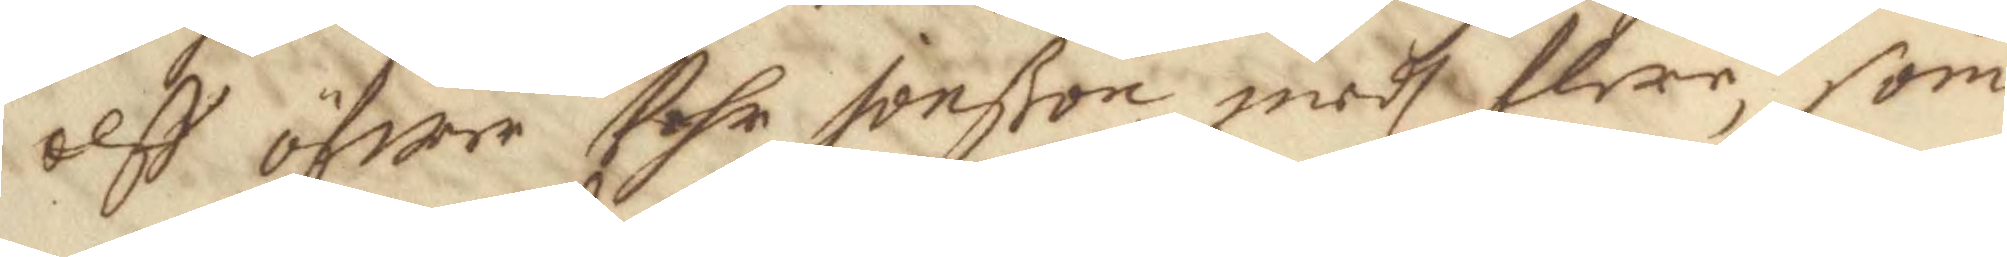elff öfwer Pehr Jonßon medh flere, som
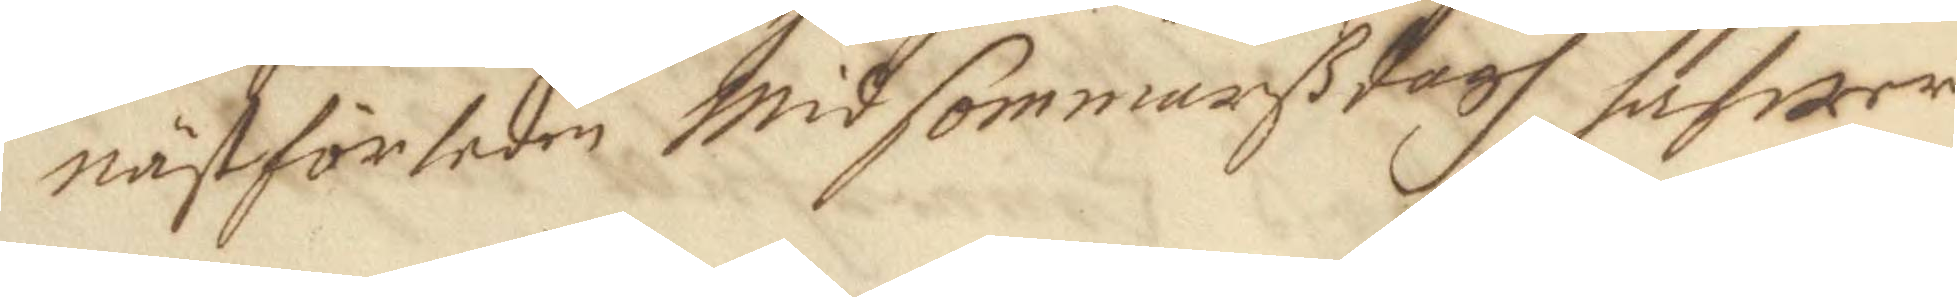nästförleden Midsommarßdagh hafwer
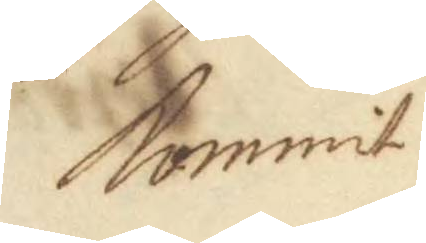kommit
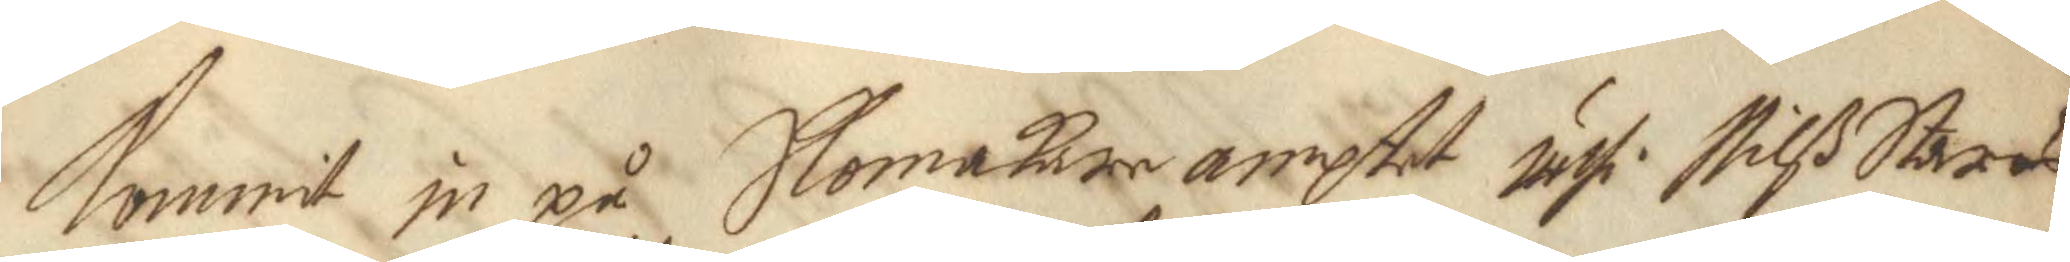kommit in på Skomakare amptet uthi Nilß Staras
